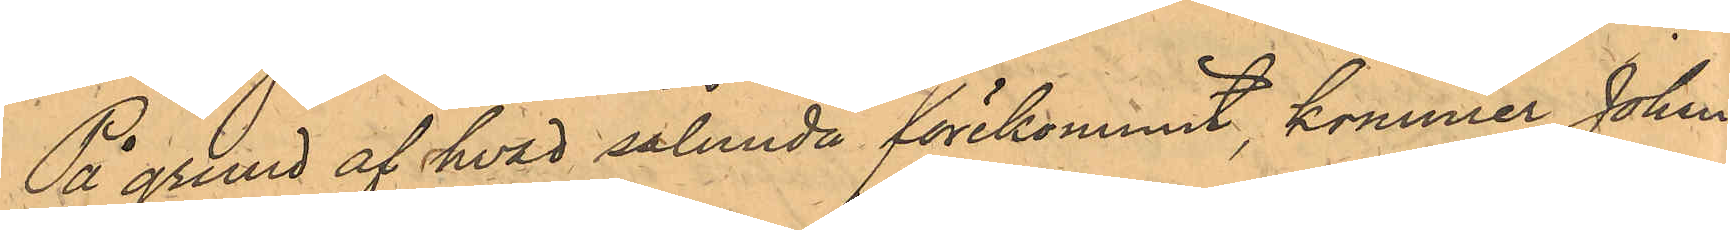På grund af hvad sålunda förekommit, kommer Johan
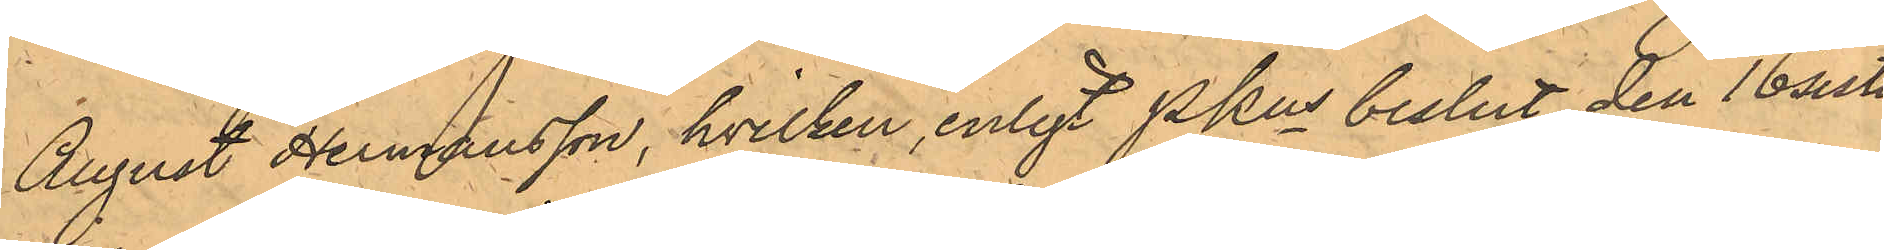August Hermansson, hvilken, enligt PKns beslut den 16 sistl.
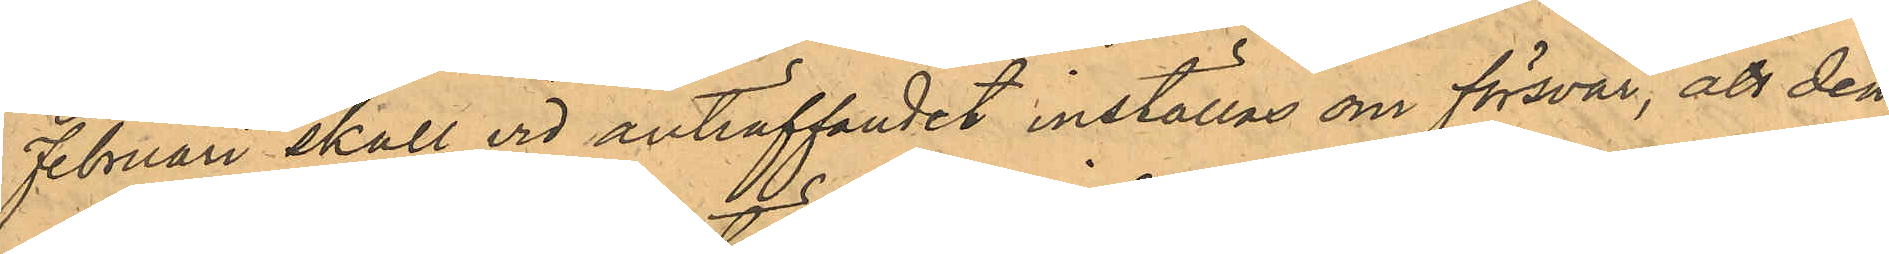Februari skall vid anträffandet inställas om försvar, att den¬
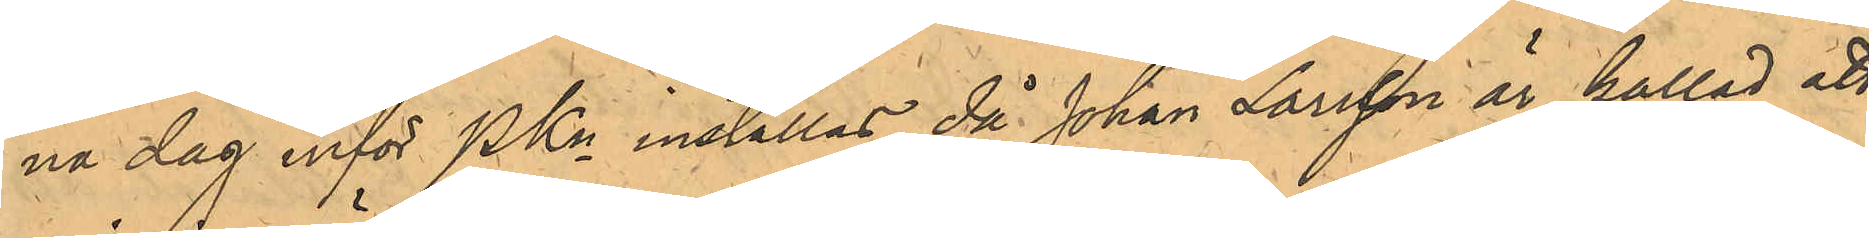na dag inför PKn inställas, då Johan Larsson är kallad att
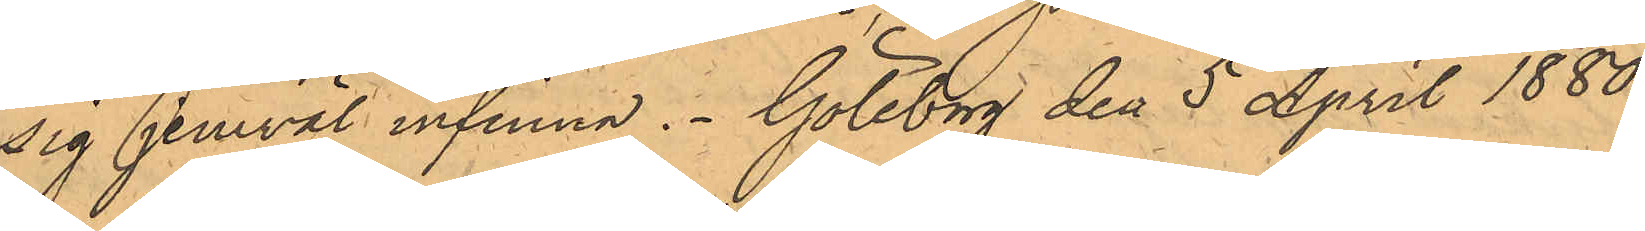sig jemväl infinna. Göteborg den 5 April 1880.
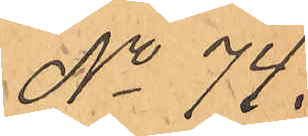No 74
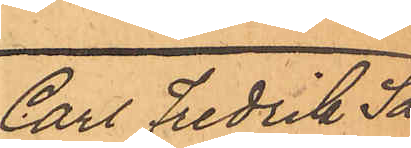Carl Fredrik Sa¬
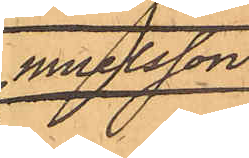muelsson.
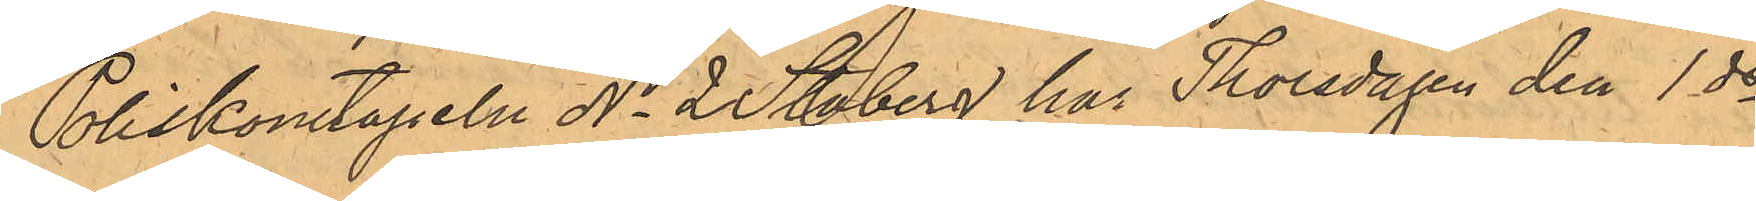Poliskonstapeln No 2 Staberg har Thorsdagen den 1 ds
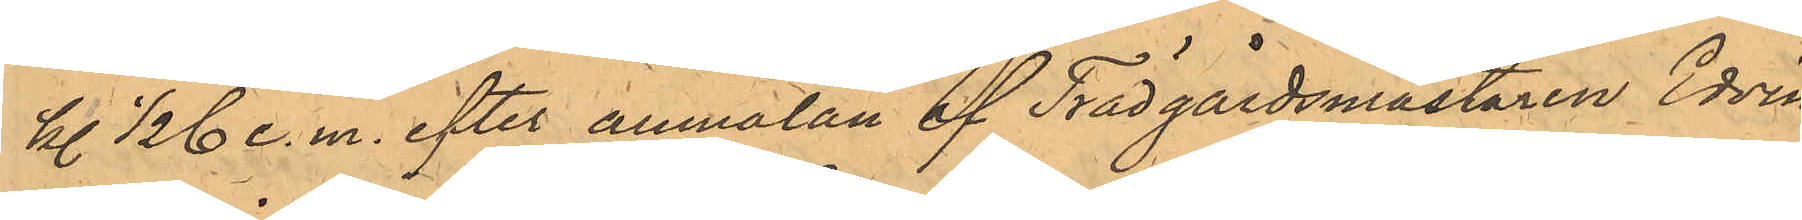kl. 1/2 6 e.m. efter anmälan af Trädgårdsmästaren Edvin
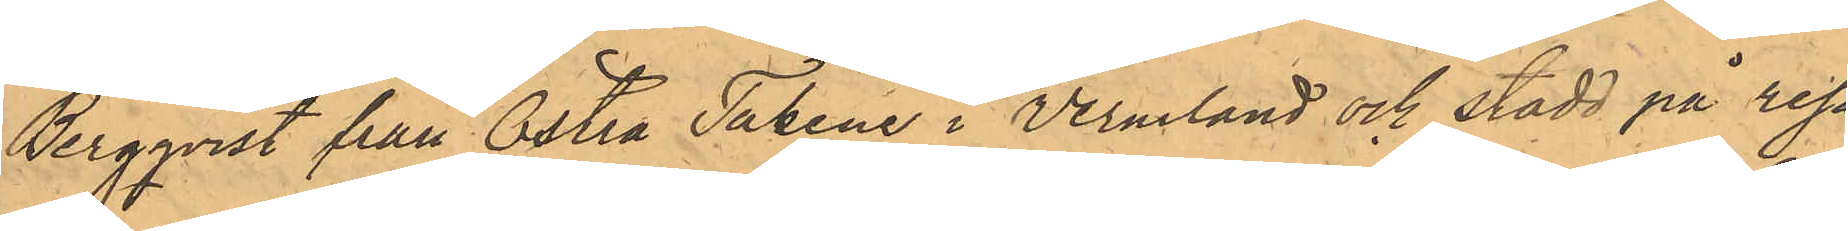Bergqvist från Östra Takene i Vermland och stadd på resa
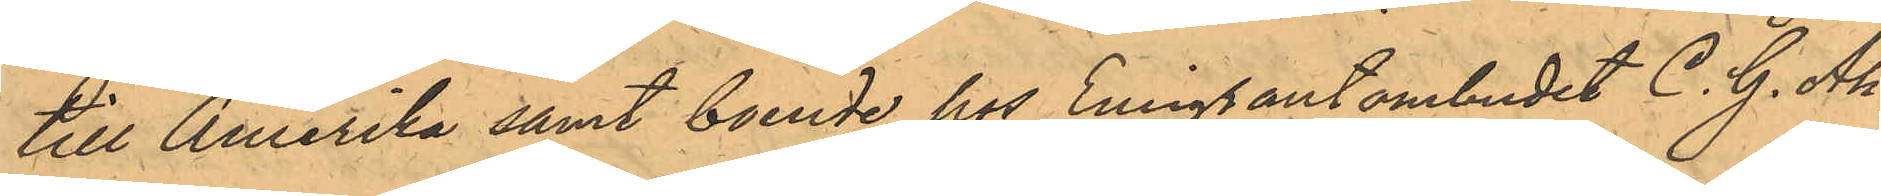till Amerika samt boende hos Emigrantombudet C. G. Ah¬
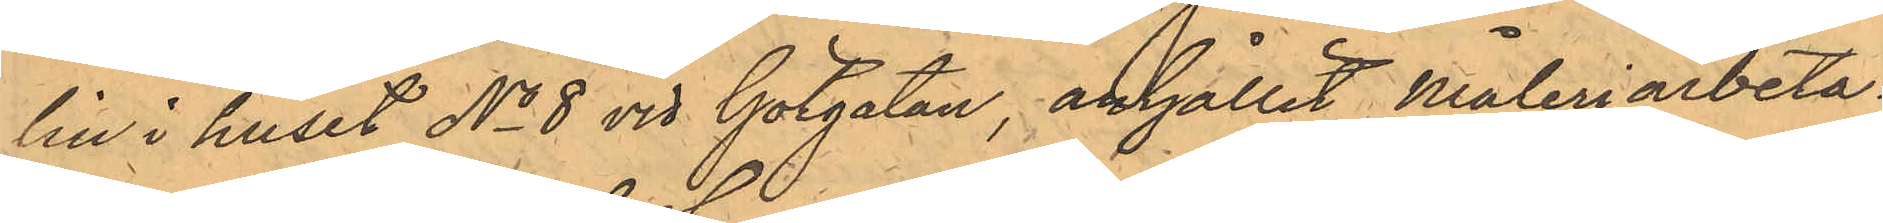lin i huset No 8 vid Götgatan, anhållit Måleriarbeta¬
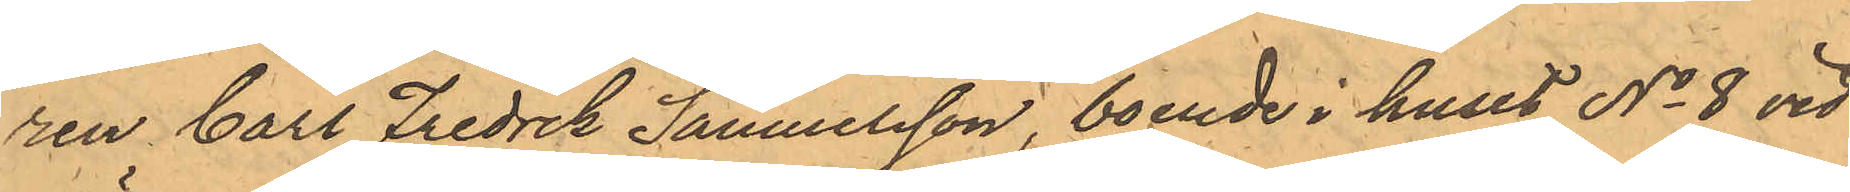ren Carl Fredrik Samuelsson, boende i huset No 8 vid
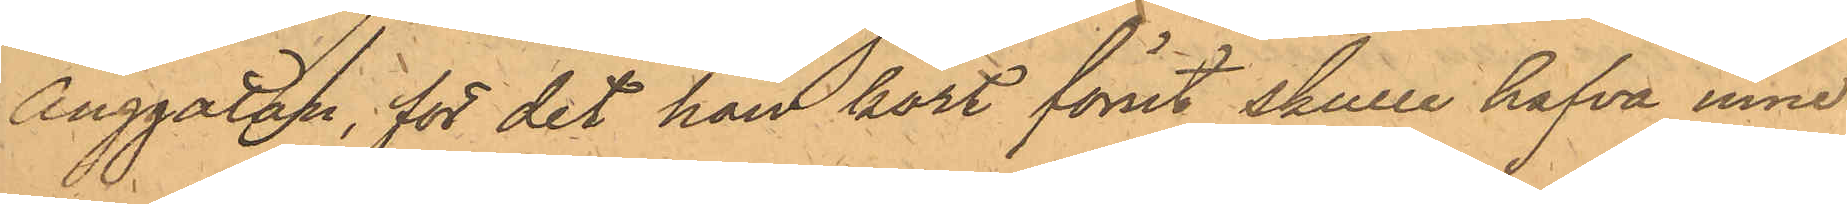Änggatan, för det han kort förut skulle hafva inne
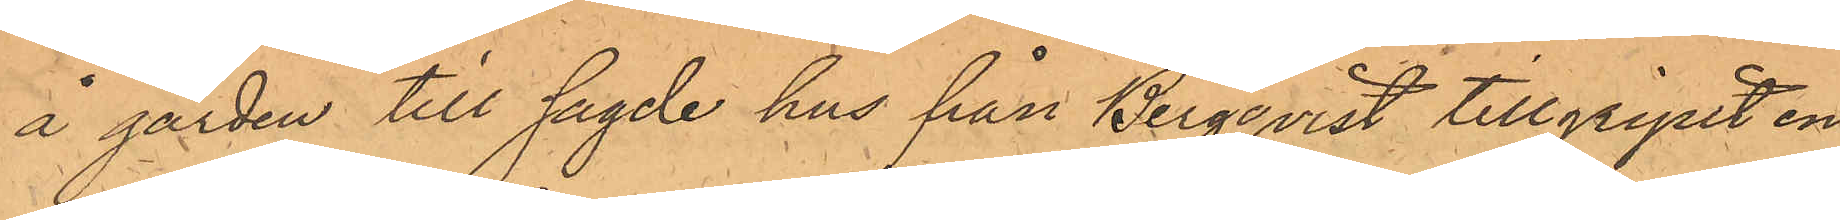å gården till sagde hus från Bergqvist tillgripit en
